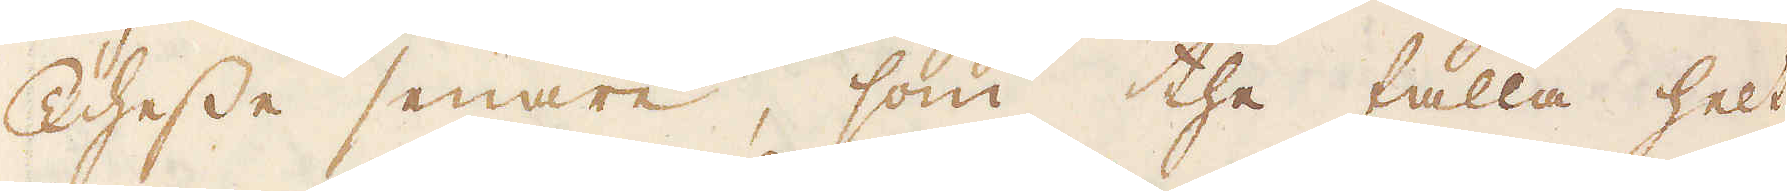Thesse senare, som the falla helt
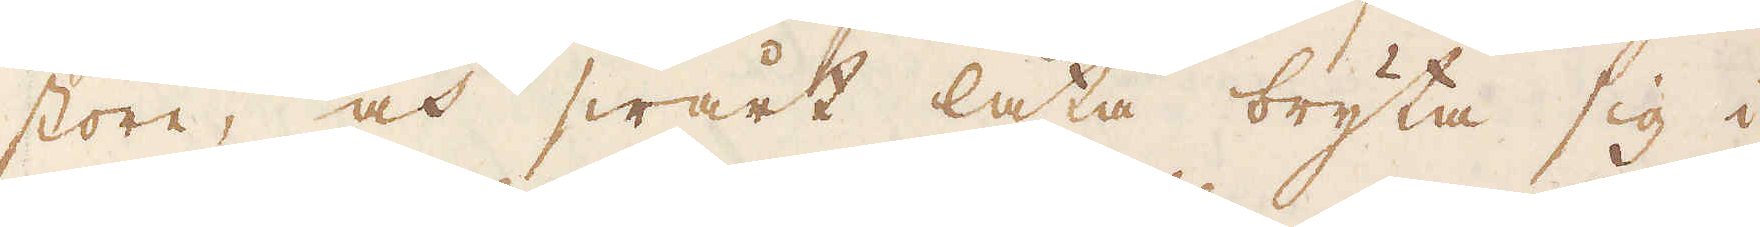store, och swårt låta bryta sig i
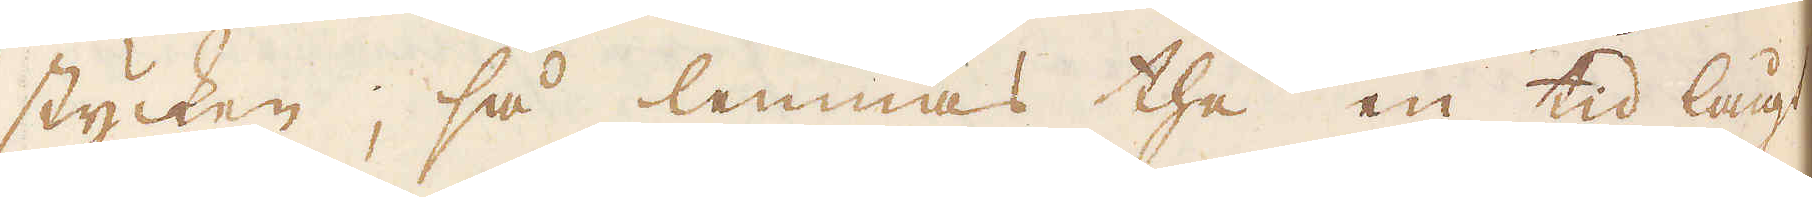stycken; så lemnas the en tid lågt
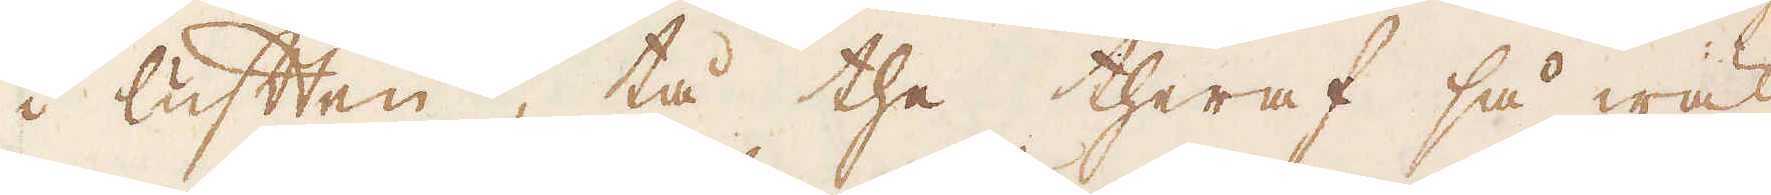i luften, tå the theraf så wäl
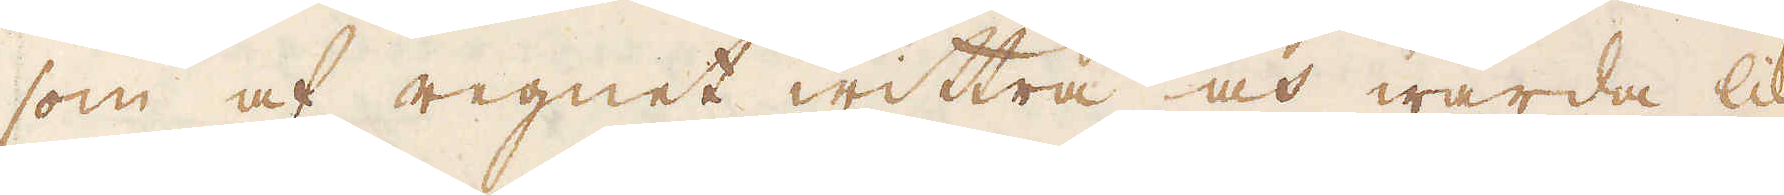som af regnet wittra och warda lik-
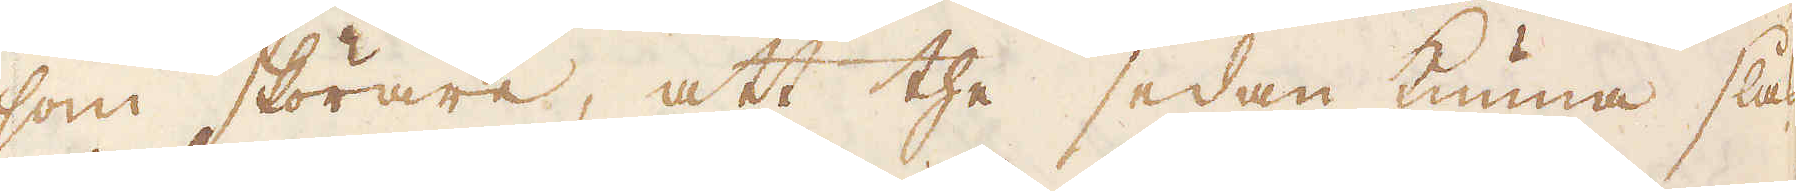som skörare, att the sedan kunna slås
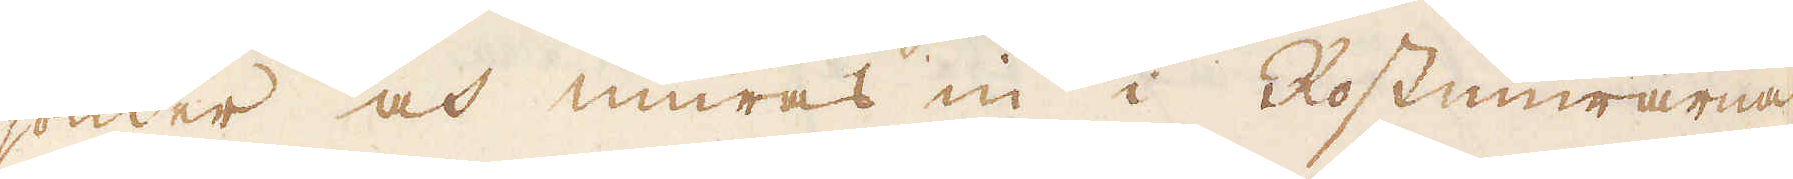sönder och muras in i Rostmurarna
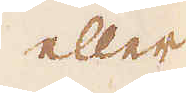eller
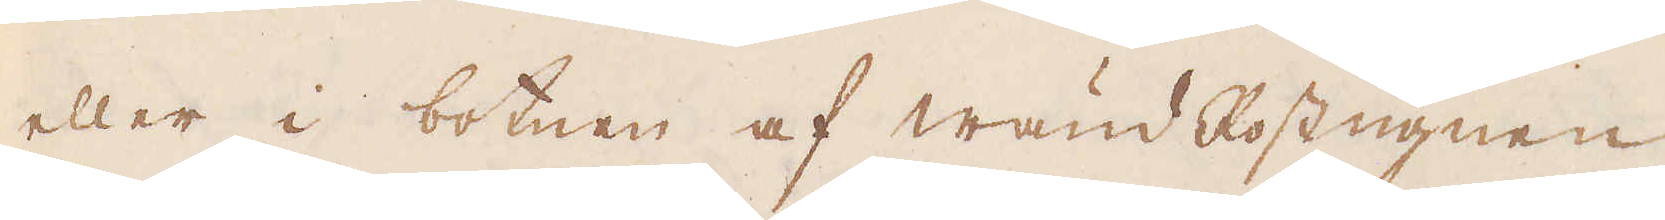eller i botnen af Wänd Rostugnen
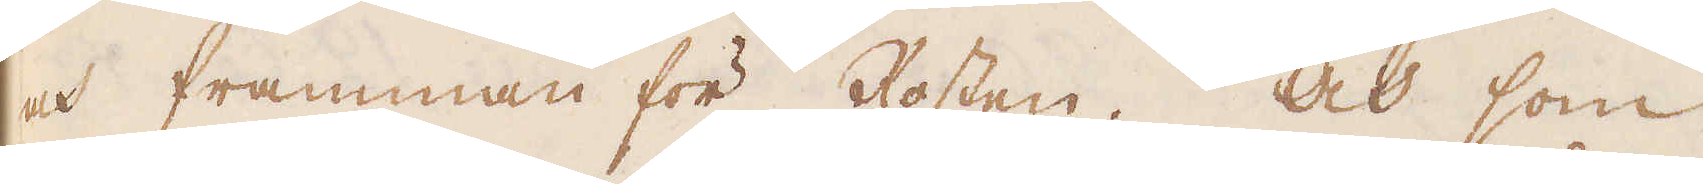och framman för Rosten. Och som
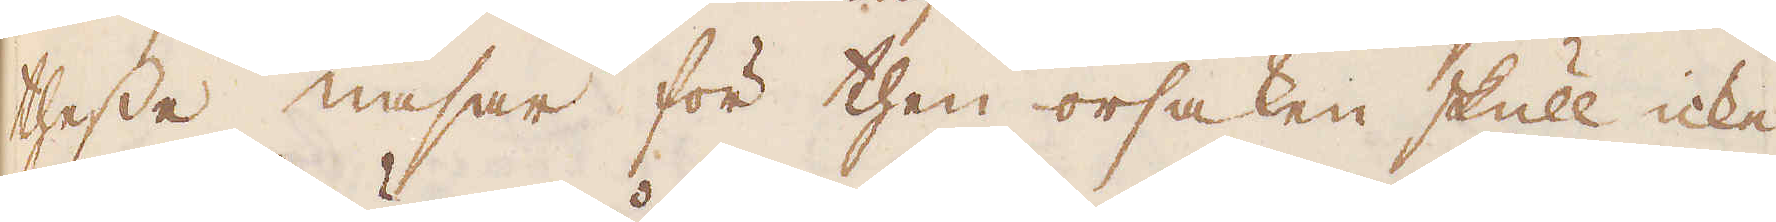thesse nasar för then orsaken skull icke
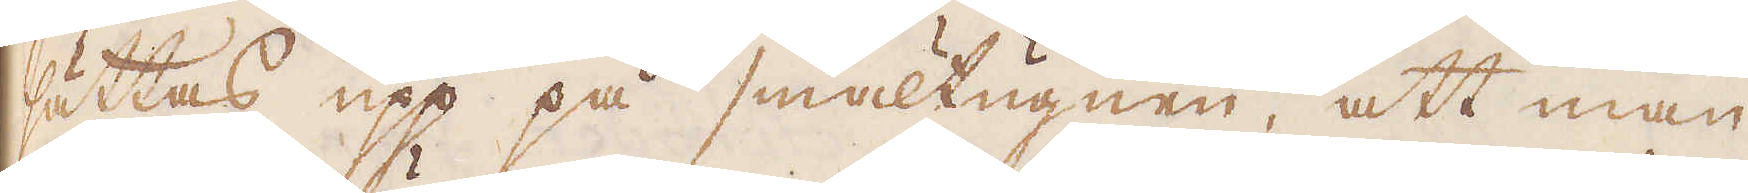sättas upp på smältugnen, att man
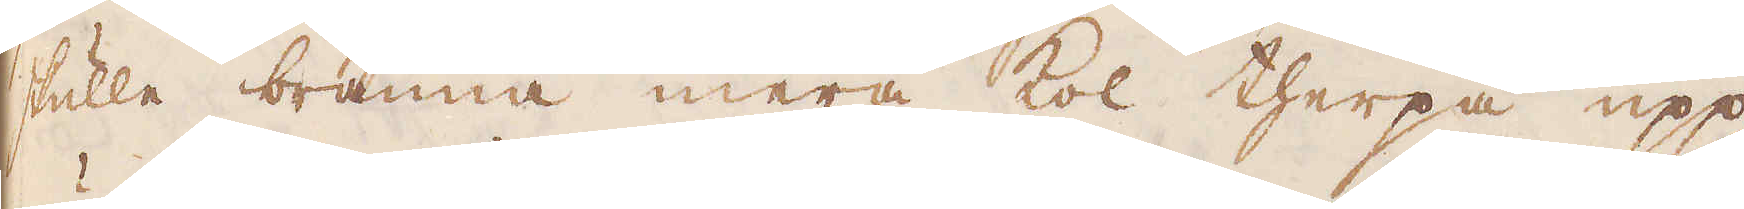skulle bränna mera kol therpå upp
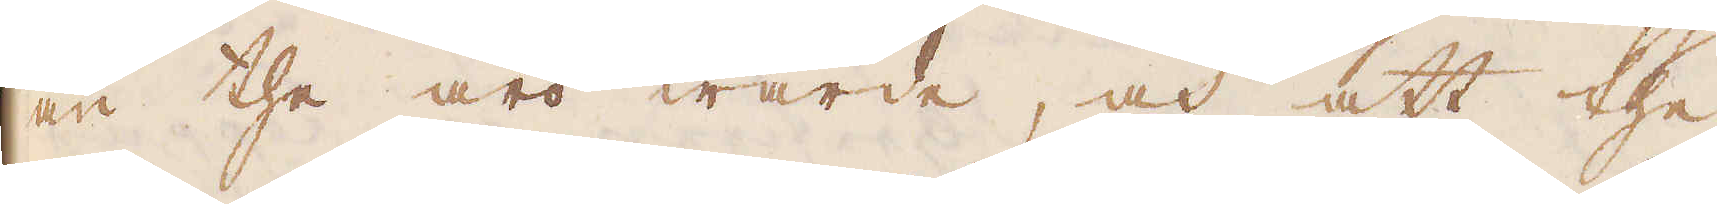än the äro wärde, och att the
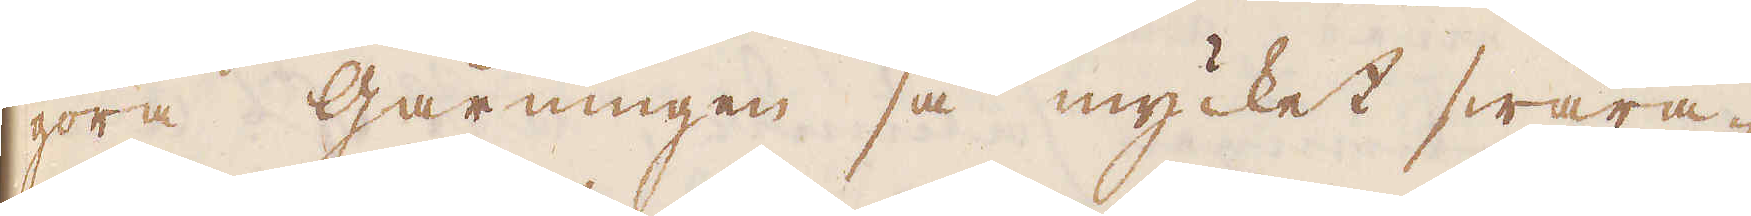göra Gårningen så mycket swåra-
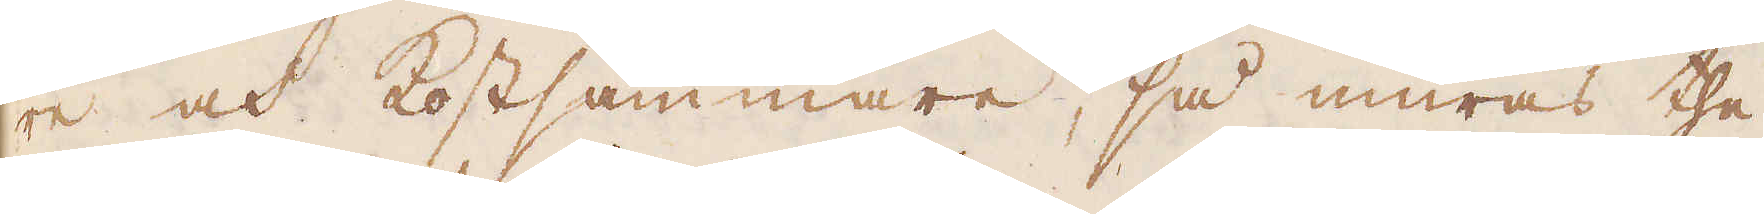re och kostsammare, så muras the
